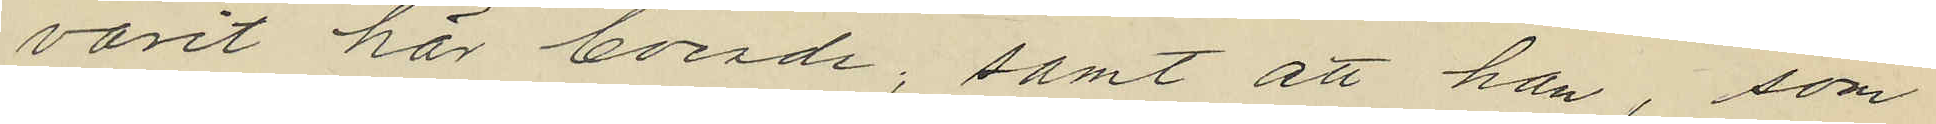varit här boende; samt att han, som
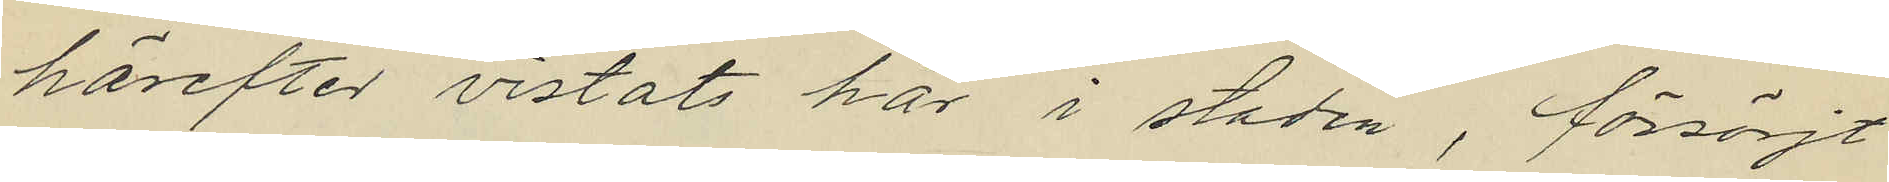härefter vistats här i staden, försörjt
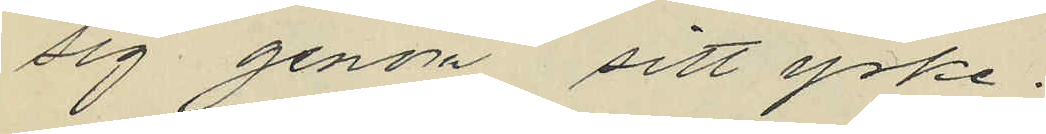sig genom sitt yrke.
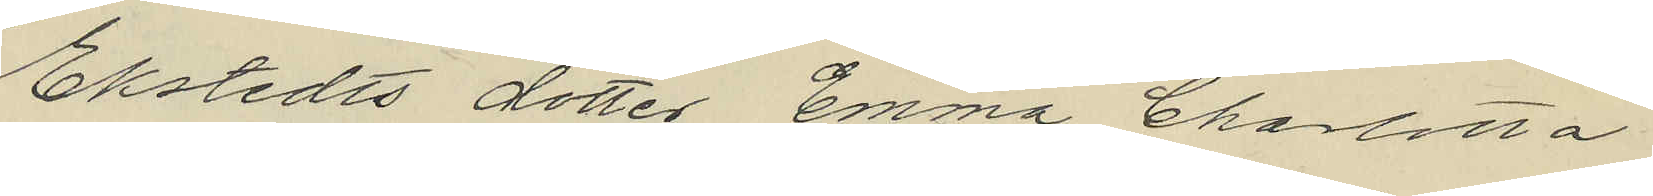Ekstedts dotter Emma Charlotta
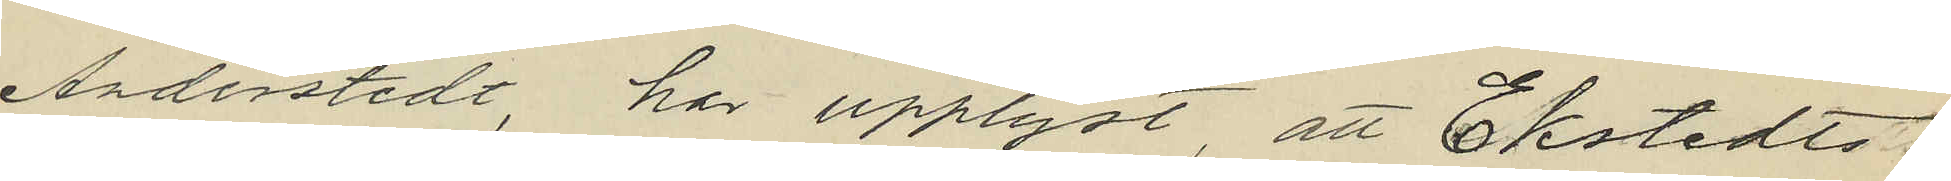Anderstedt, har upplyst att Ekstedts
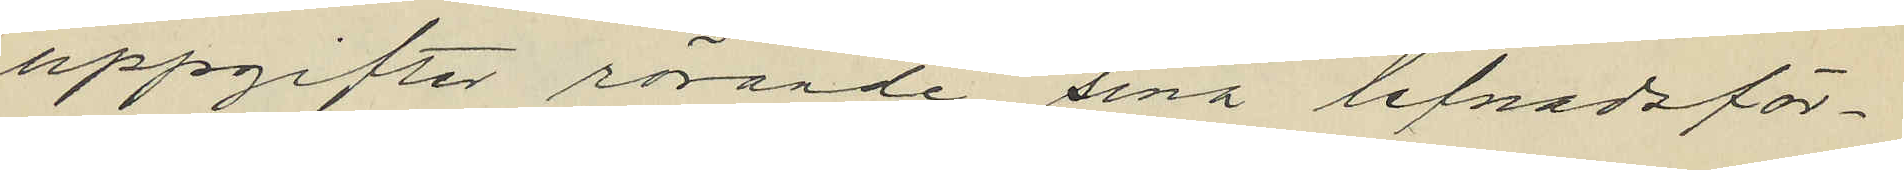uppgifter rörande sina lefnadsför¬
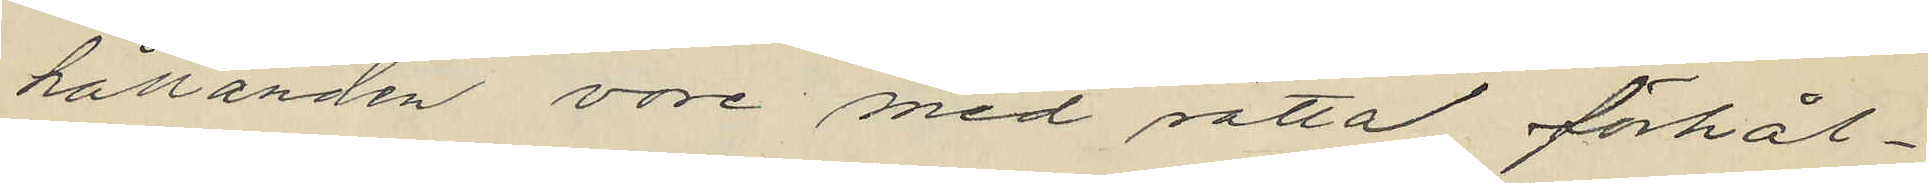hållanden vore med rätta förhål¬
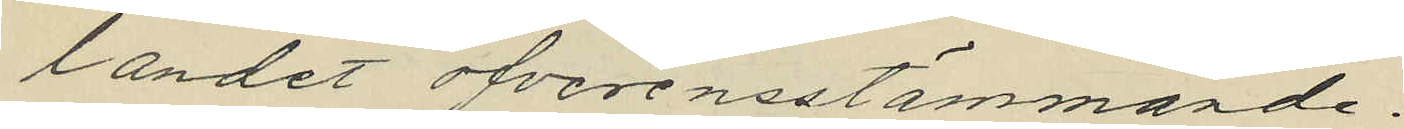landet öfverensstämmande.
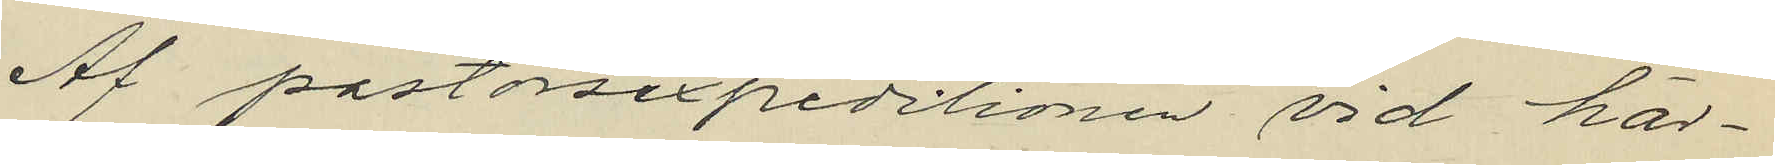Af pastorsexpeditionen vid här¬
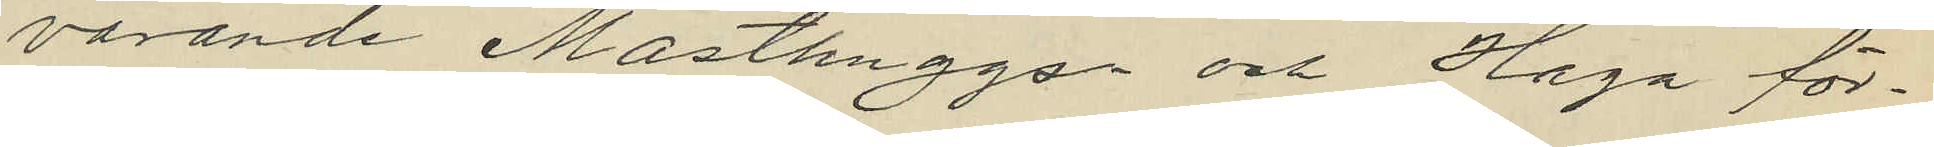varande Masthuggs och Haga för¬
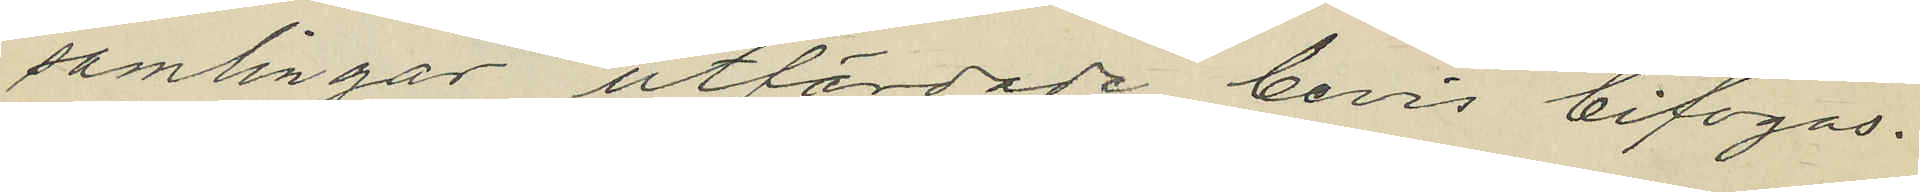samlingar utfärdade bevis bifogas.
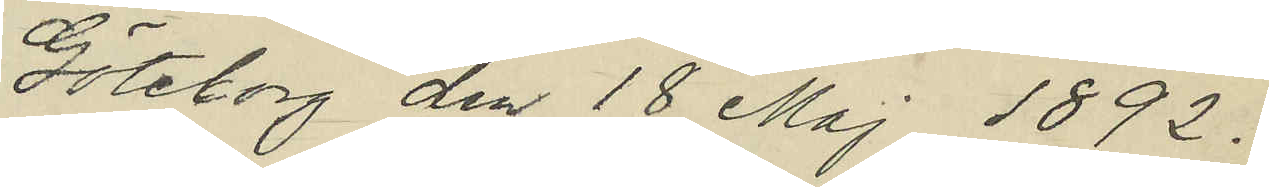Göteborg den 18 Maj 1892.
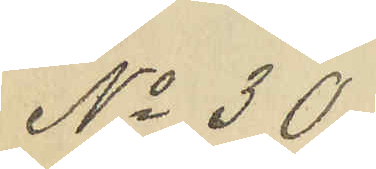No 30.
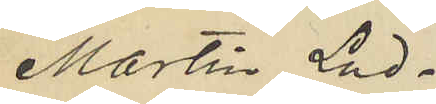Martin Lud¬
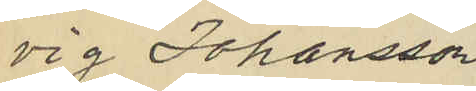vig Johansson
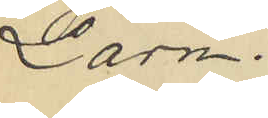Larm.
